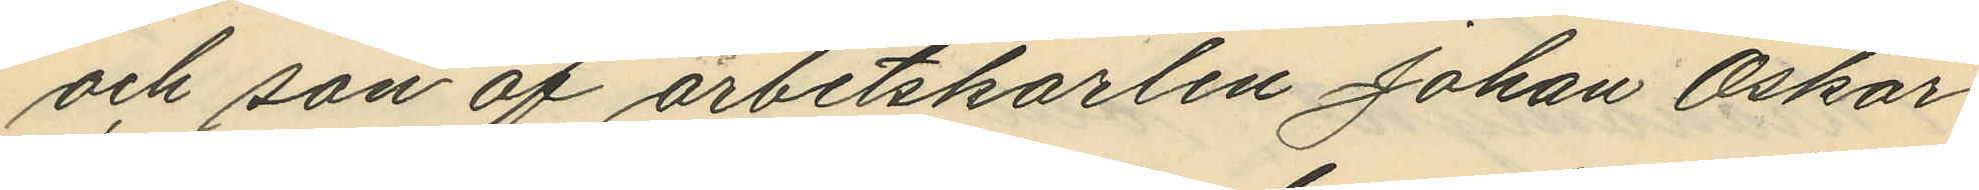och son af arbetskarlen Johan Oskar
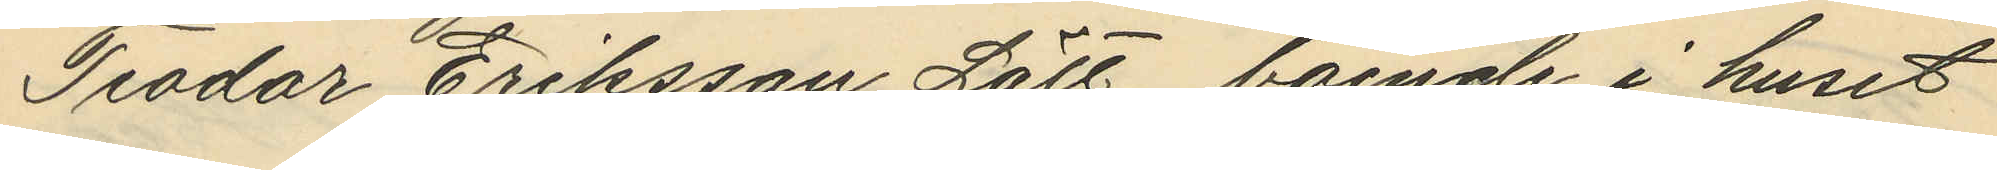Teodor Eriksson Lätt, boende i huset
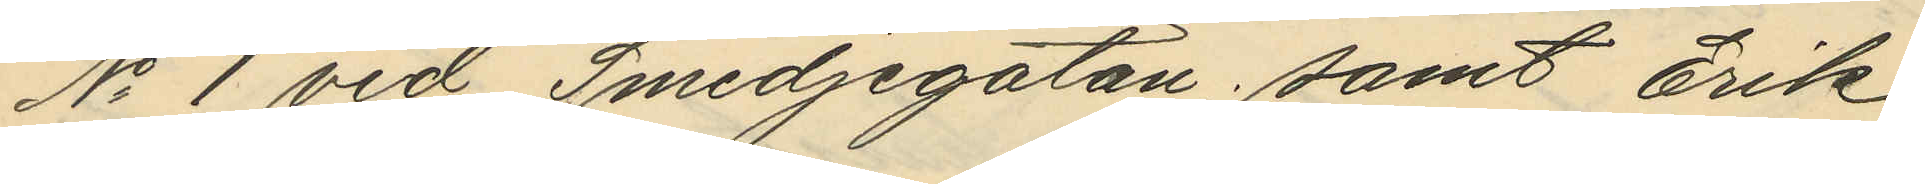No 1 vid Smedjegatan; samt Erik
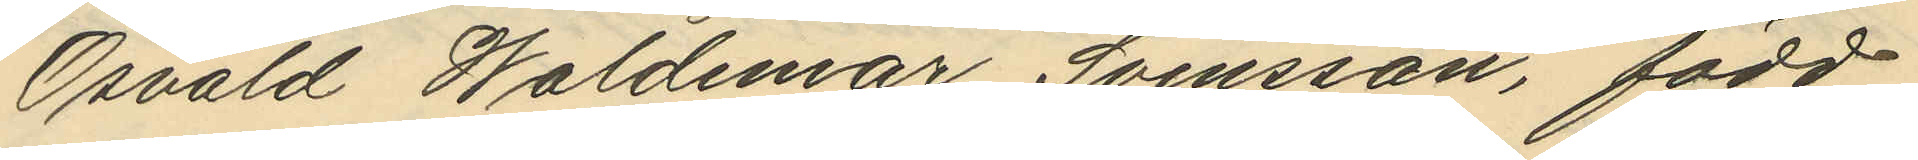Osvald Waldemar Svensson, född
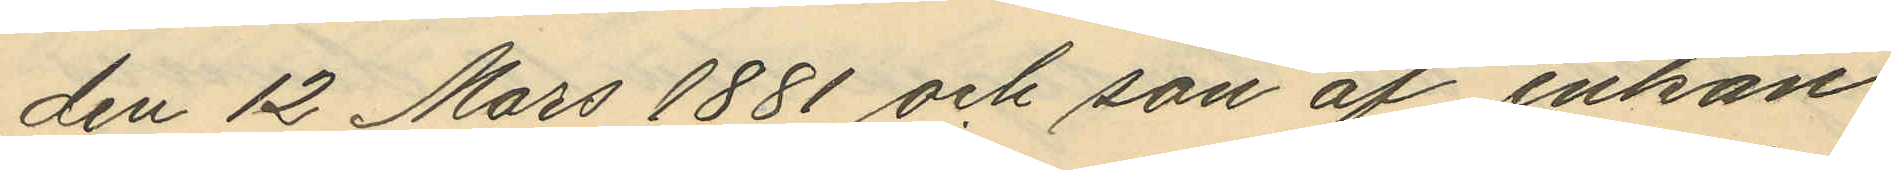den 12 Mars 1881 och son af enkan
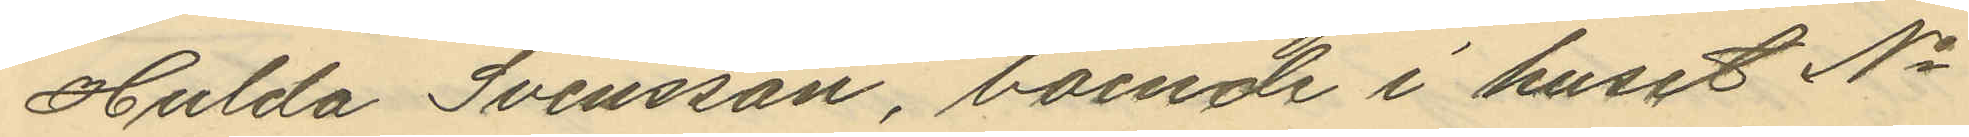Hulda Svensson, boende i huset No
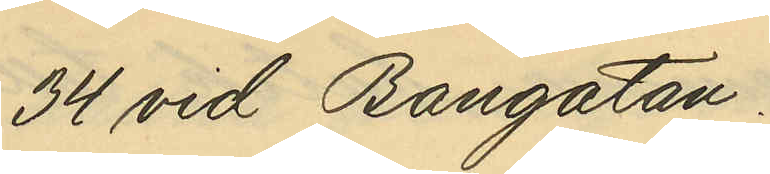34 vid Bangatan.
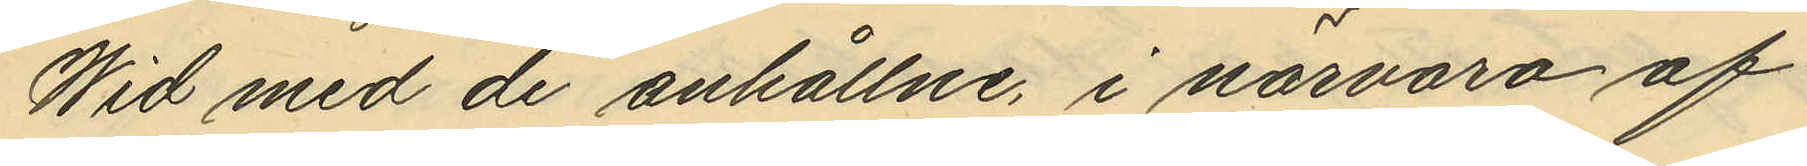Wid med de anhållne, i närvaro af
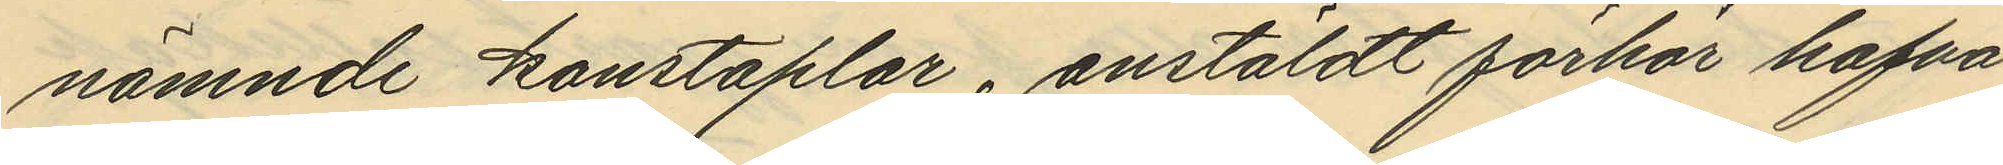nämnde konstaplar, anstäldt förhör hafva
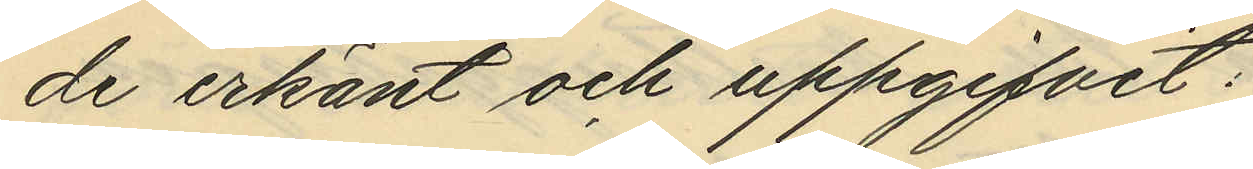de erkänt och uppgifvit:
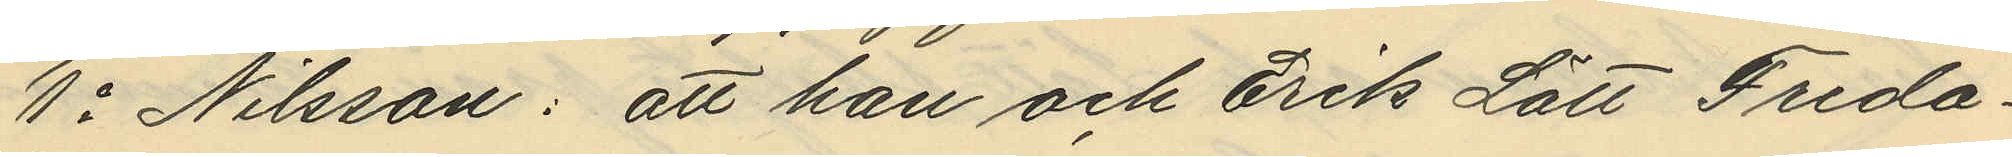1o Nilsson: att han och Erik Lätt Freda¬
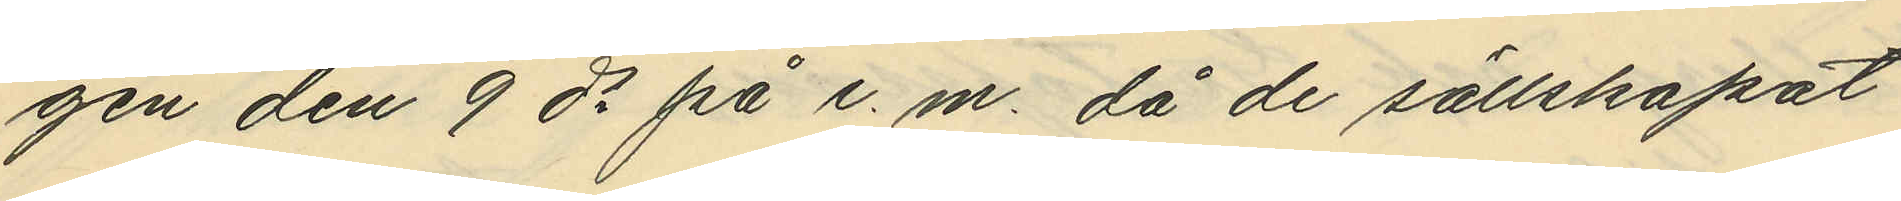gen den 9 ds på e.m. då de sällskapat
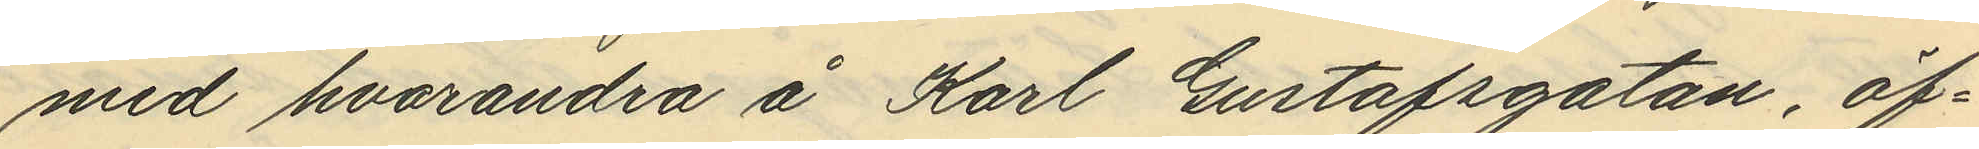med hvarandra å Karl Gustafsgatan, öf¬
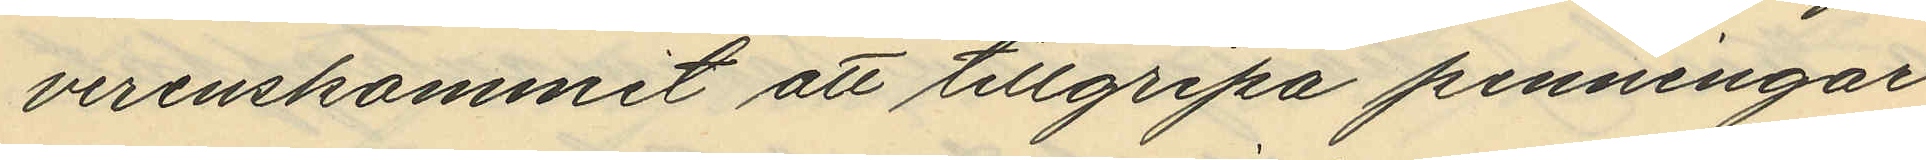verenskommit att tillgripa penningar
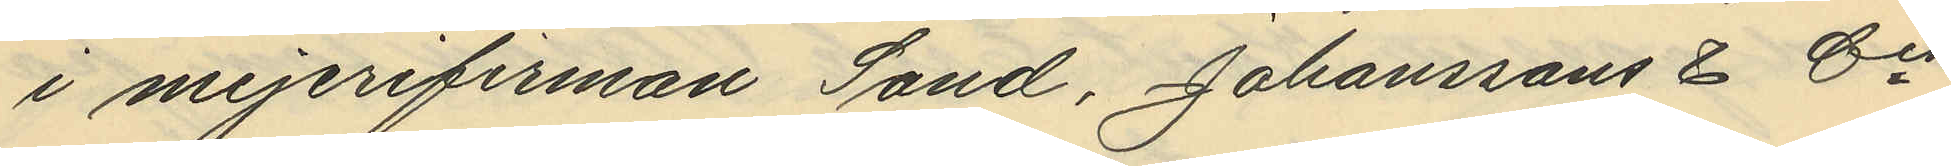i mejerifirman Sand, Johanssons & Cis
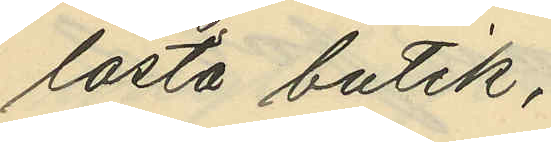låsta butik,
